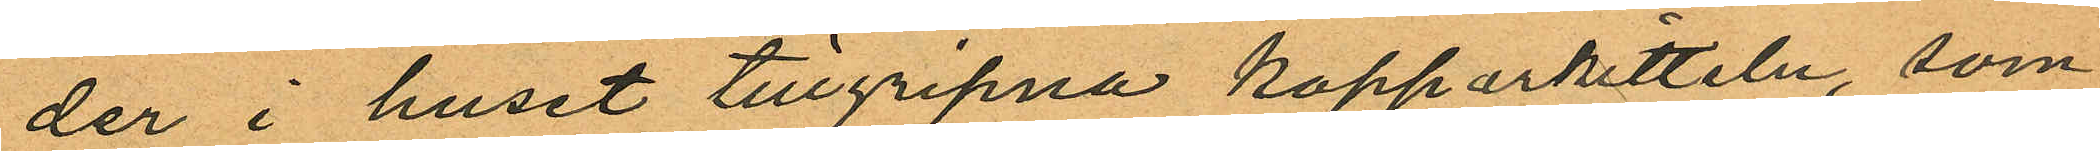der i huset tillgripna kopparkitteln, som
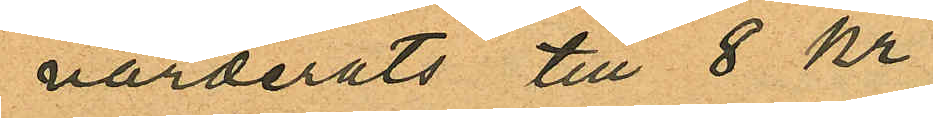värderats till 8 kr;
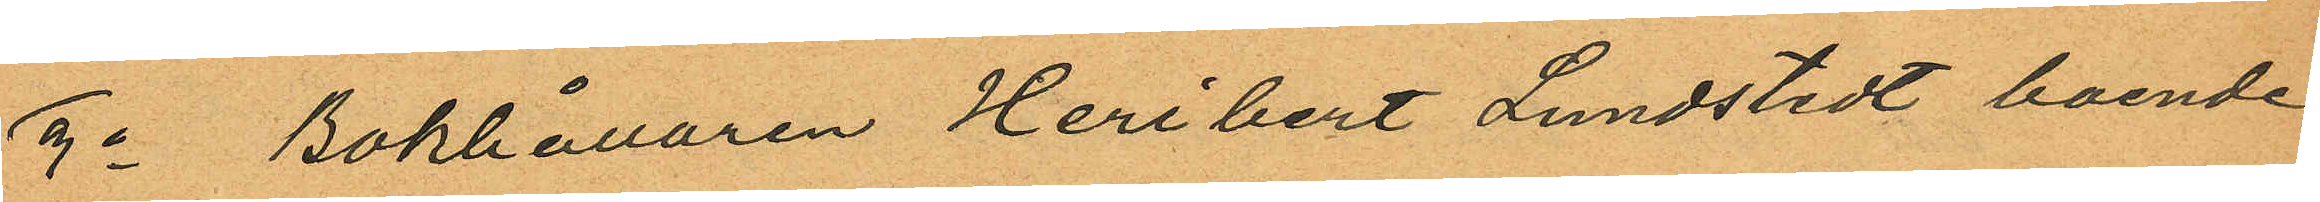3o Bokhållaren Heribert Lundstedt boende
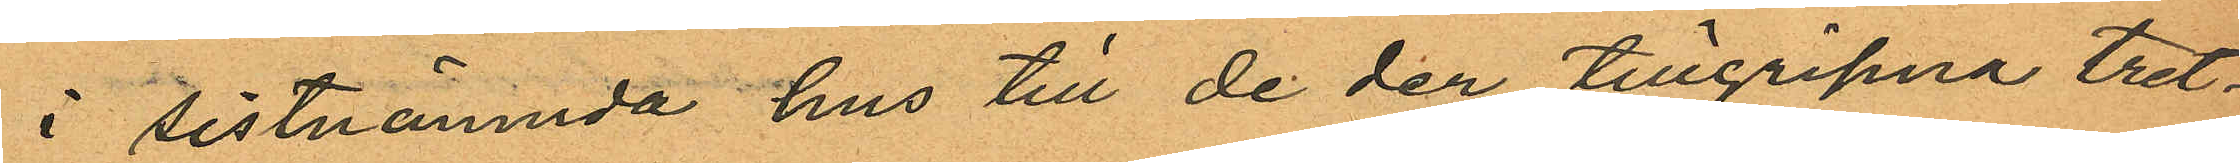i sistnämnda hus till de der tillgripna tret¬
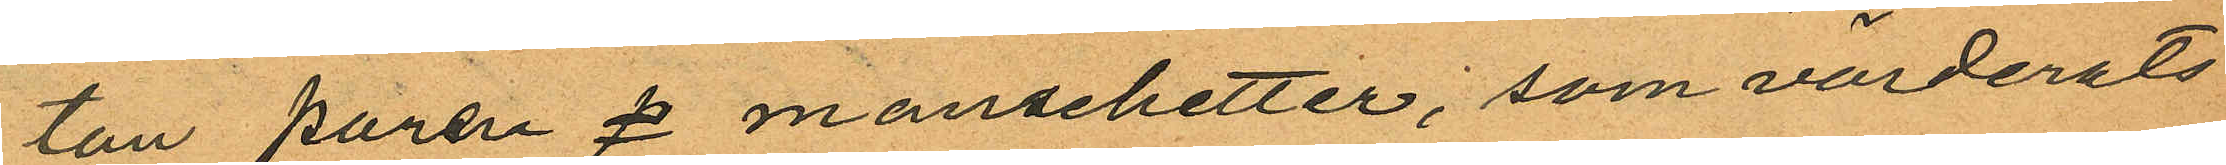ton paren s manschetter, som värderats
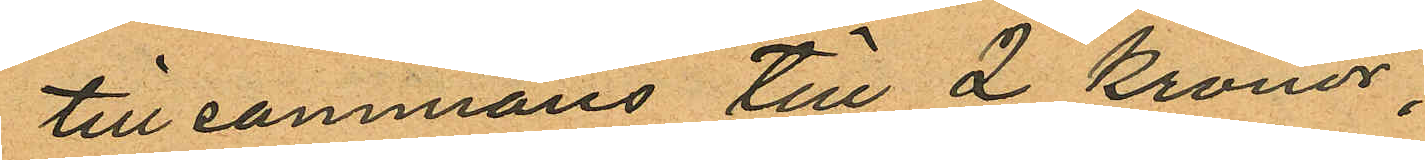tillsammans till 2 Kronor;
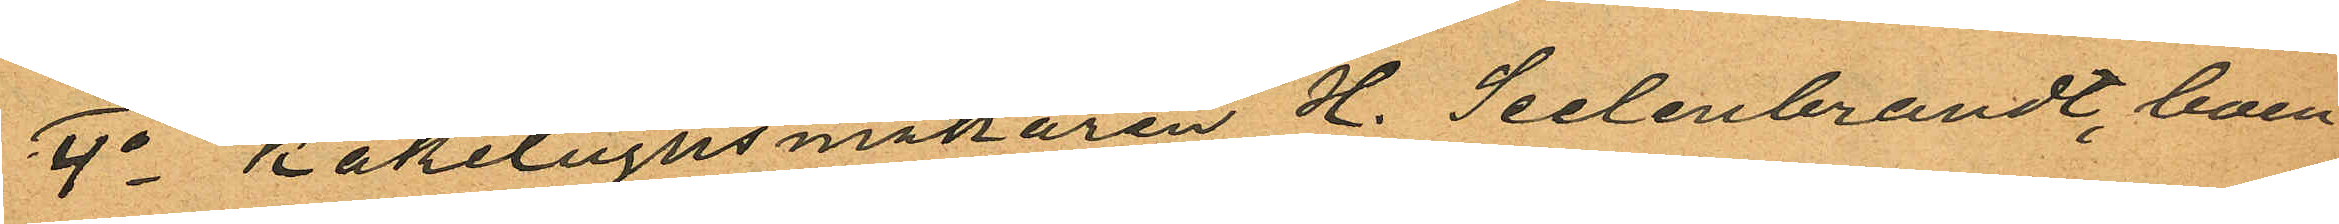4o Kakelugnsmakaren H. Seelenbrandt, boen¬
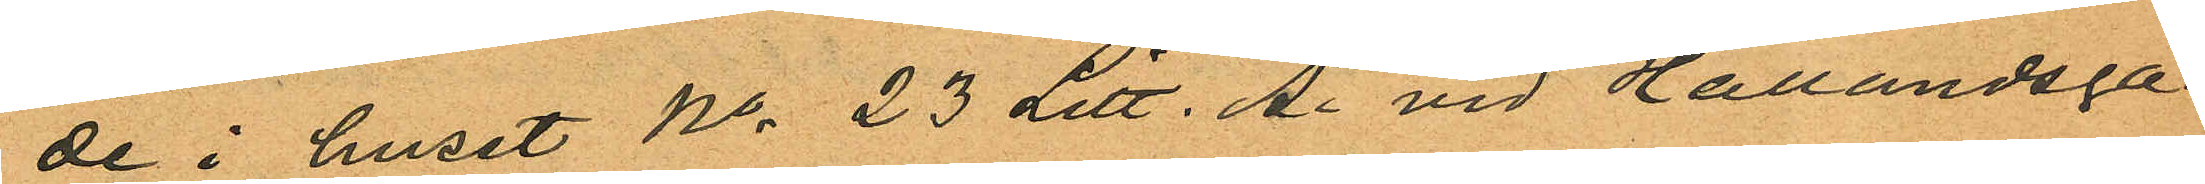de i huset No 23 Litt. A. vid Hallandsga¬
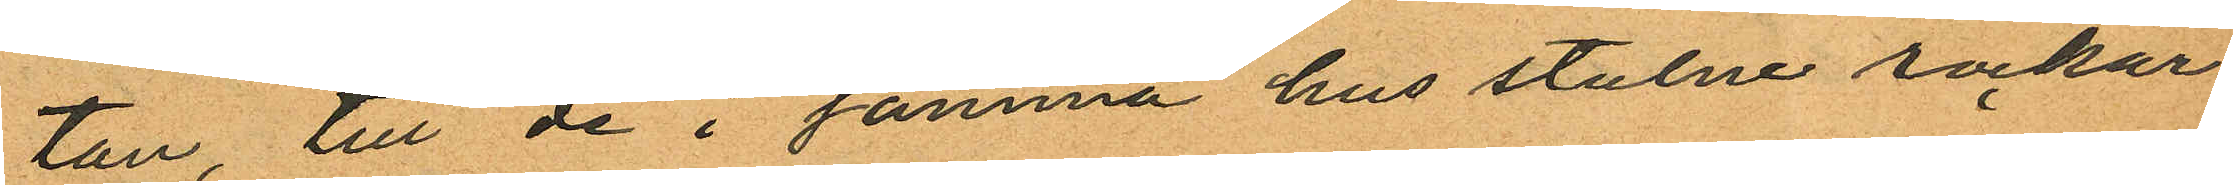tan, till de i samma hus stulne rockar¬
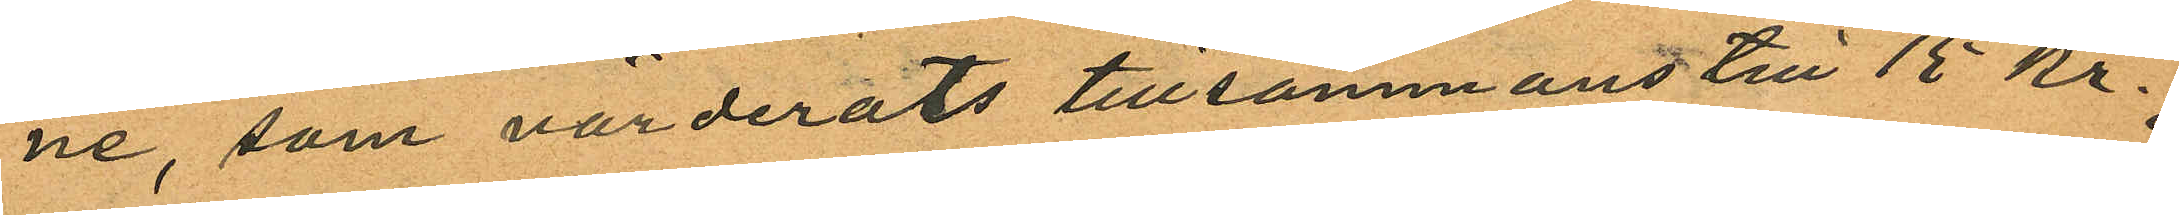ne, som värderats tillsammans till 15 kr.
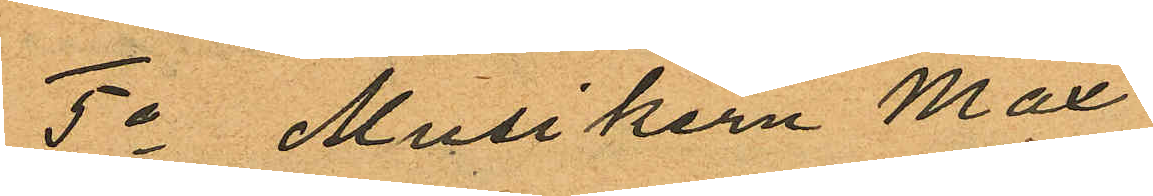5o Musikern Max
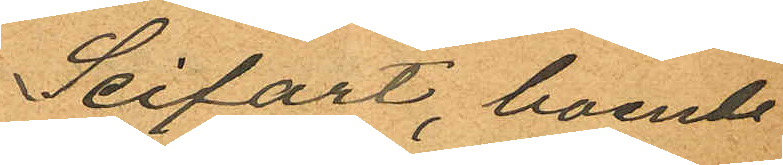Seifart, boende
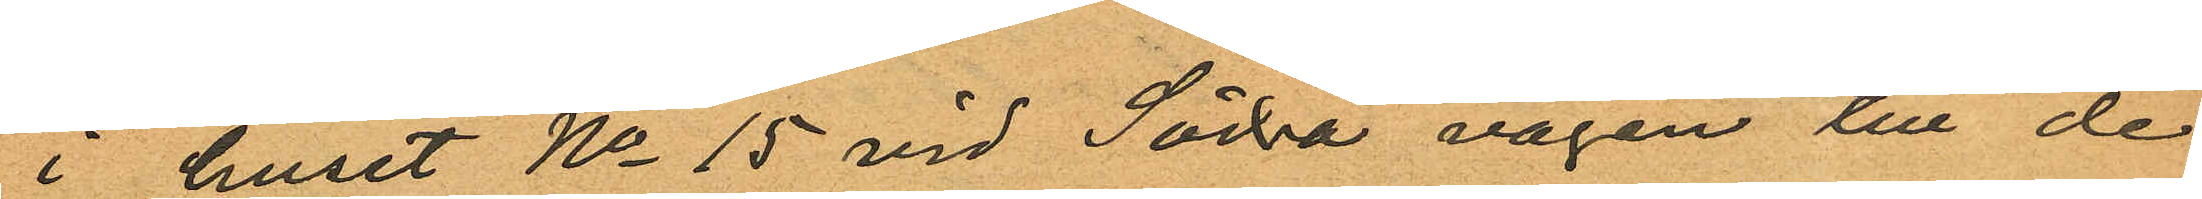i huset No 15 vid Södra vägen till de
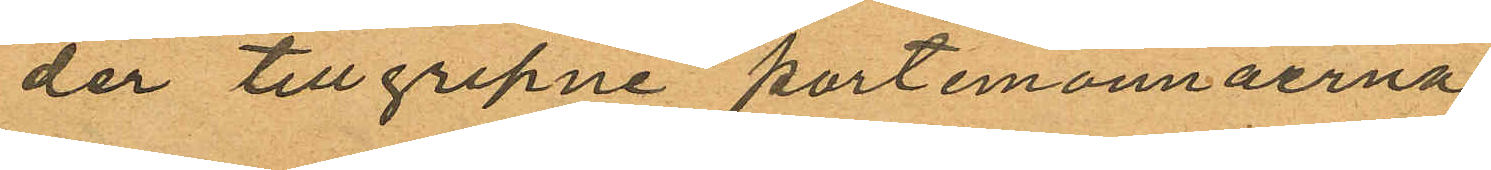der tillgripne portemonnäerna.
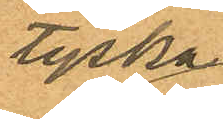tyska
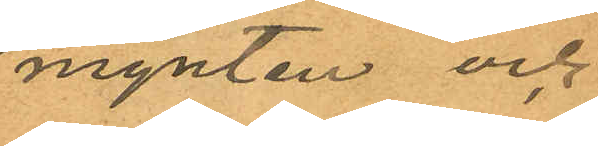mynten och
